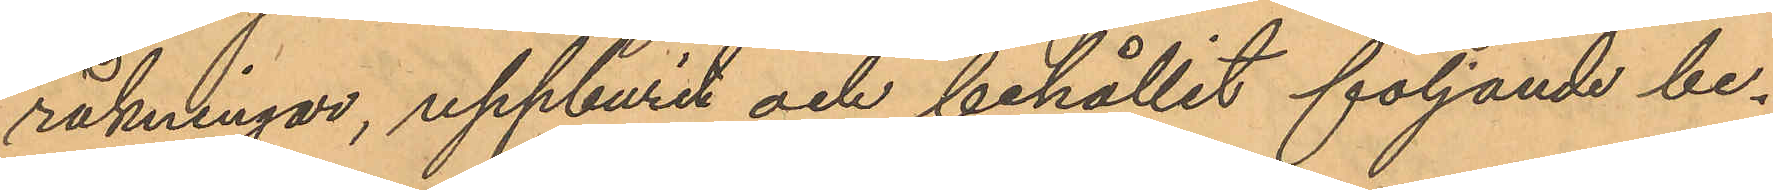räkningar, uppburit och behållit följande be¬
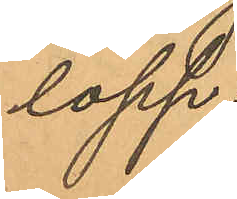lopp:
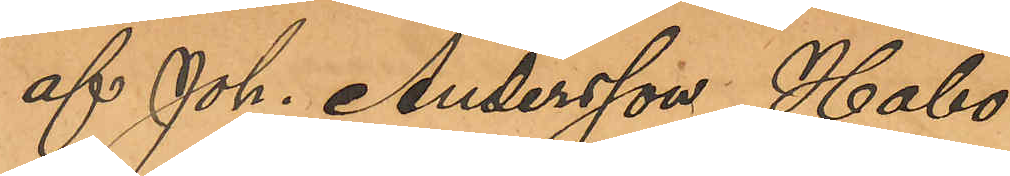af Joh. Andersson, Habo
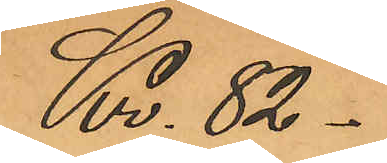Kr. 82-
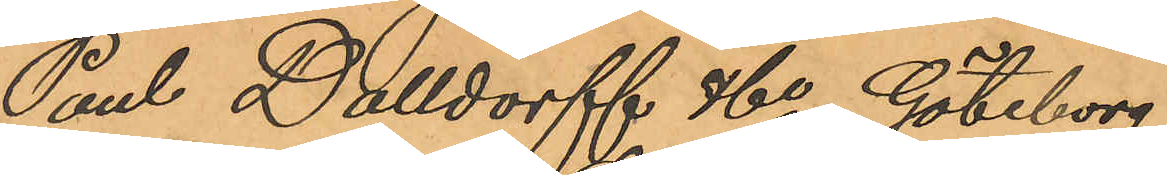Paul Dalldorff &Co, Göteborg
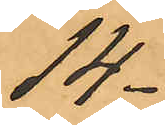14
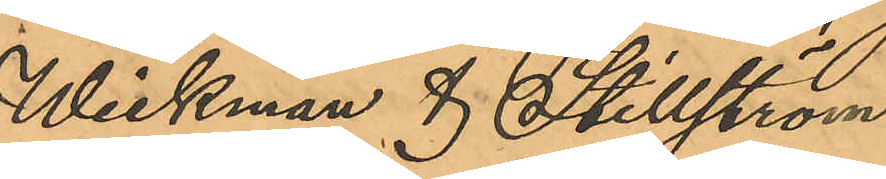Wickman & Stillström
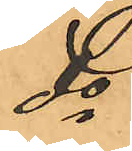do
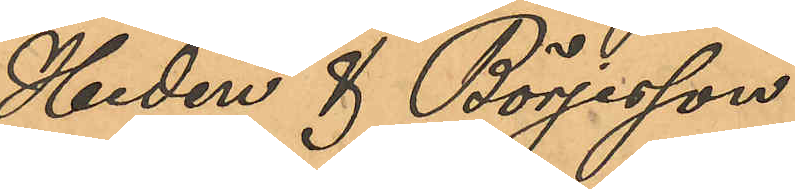Hedén & Börjesson
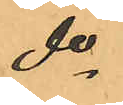do
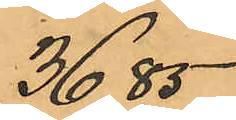36,85
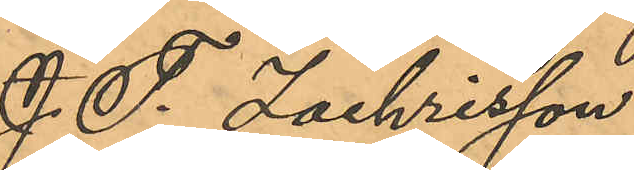J. F. Zachrisson
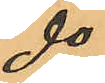do
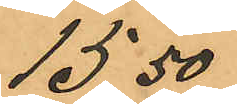15,50
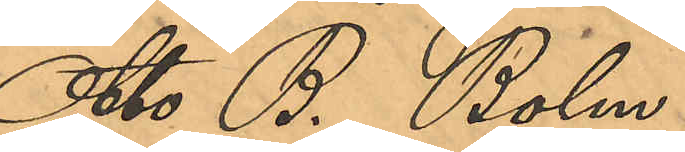Otto B. Bolm
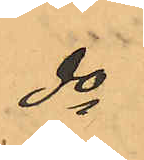do
